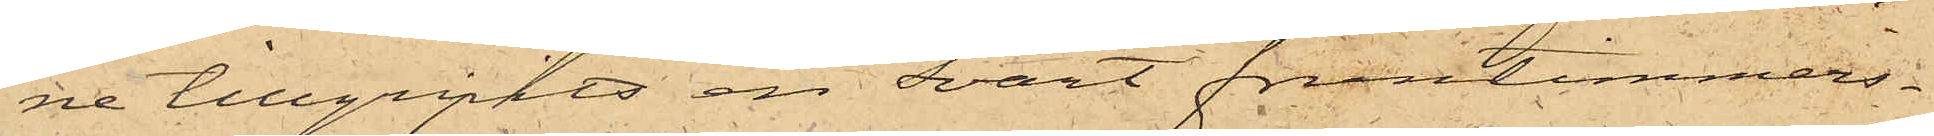ne tillgripits en svart fruntimmers¬
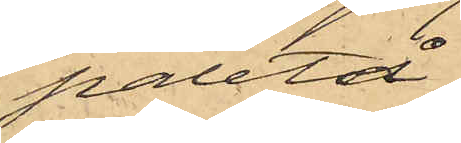paletå.
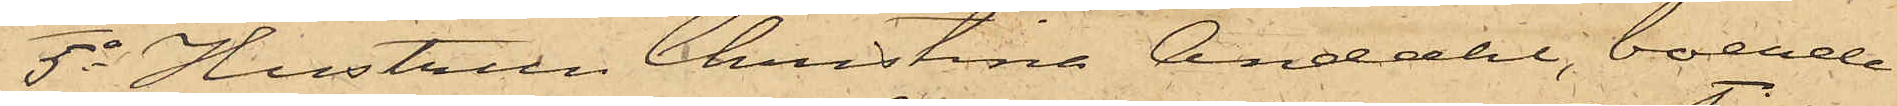5o Hustrun Christina Andahl, boende
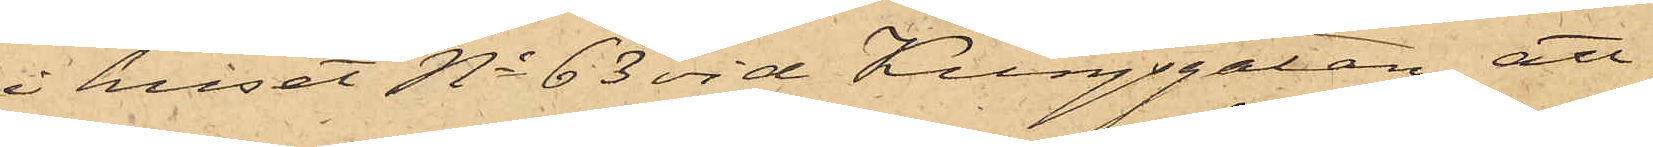i huset No 63 vid Kungsgatan, att
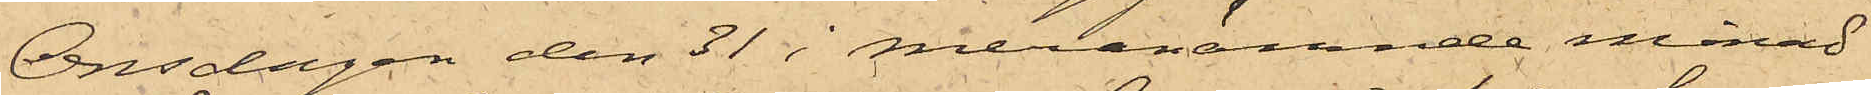Onsdagen den 31 i meranämnde månad
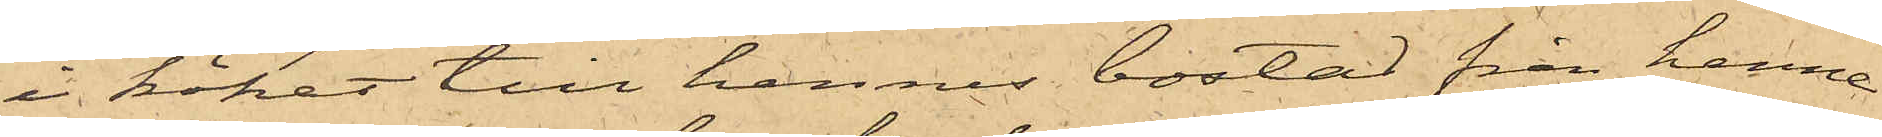i köket till hennes bostad från henne
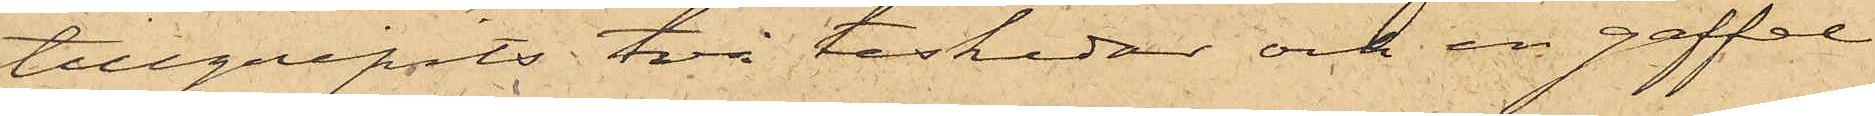tillgripits två teskedar och en gaffel
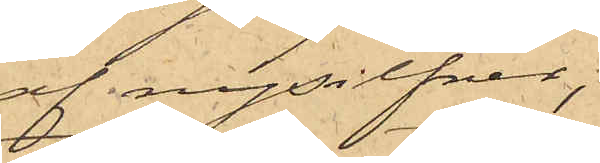af nysilfver;
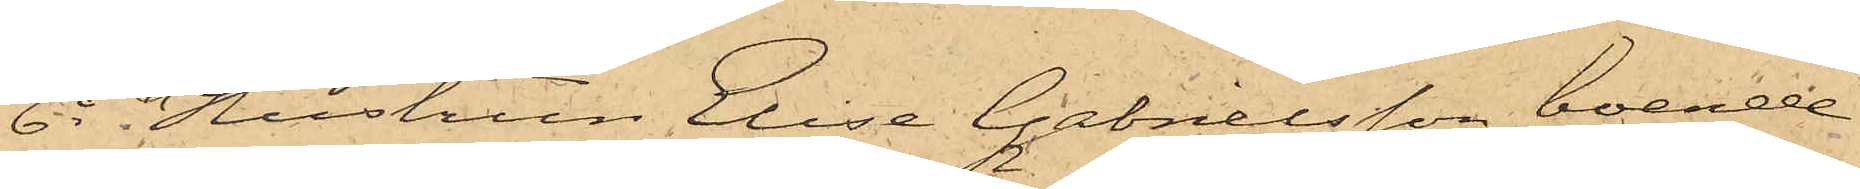6o Hustrun Elise Gabrielsson, boende
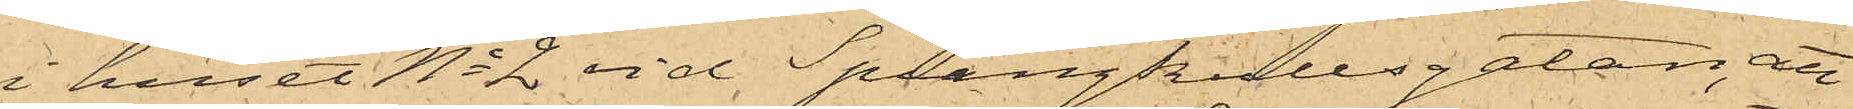i huset No 2 vid Sprängkullsgatan, att
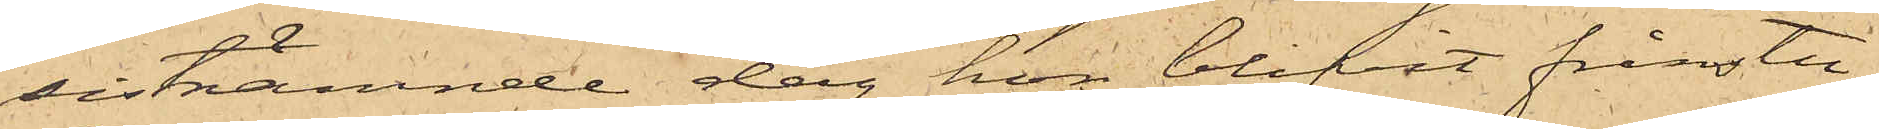sistnämnde dag hon blifvit frånstu¬
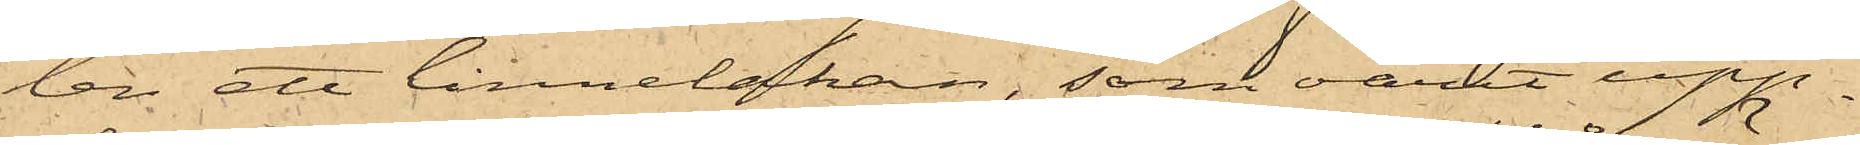len ett linnelakan, som varit upp¬
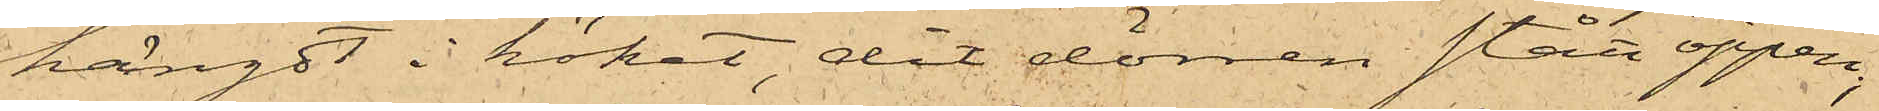hängdt i köket, dit dörren stått öppen;
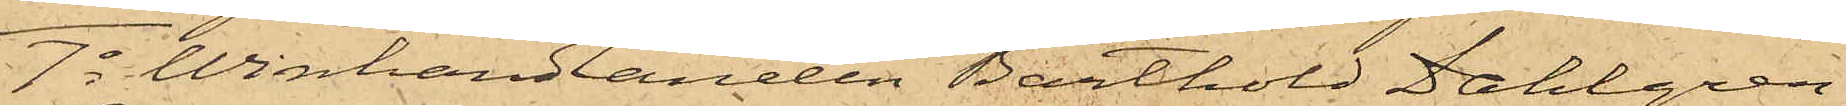7o Winhandlanden Barthold Dahlgren,
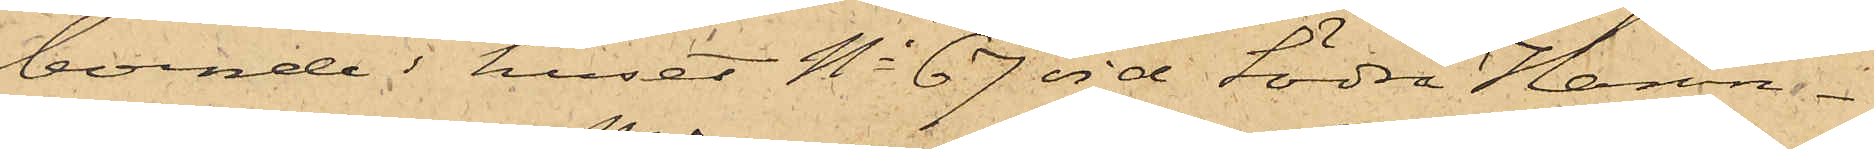boende i huset No 67 vid Södra Hamn¬
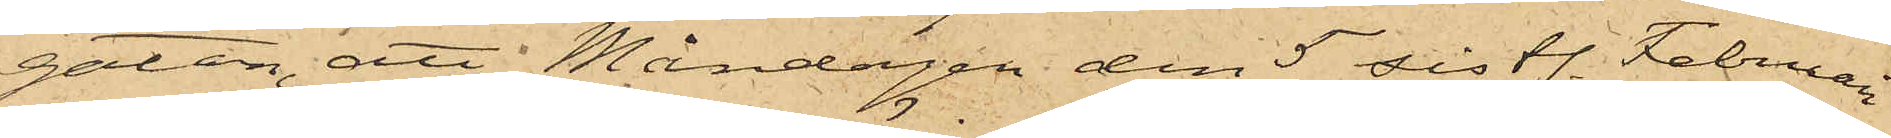gatan, att Måndagen den 5 sistl. Februari
